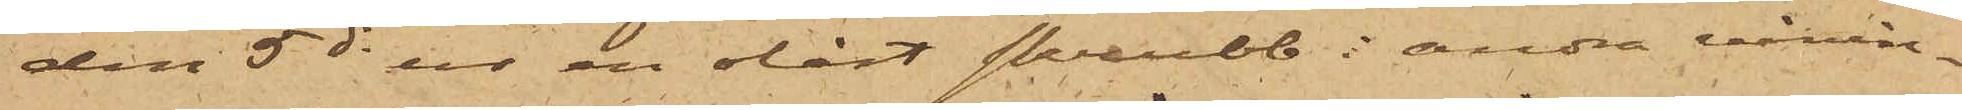den 5 ds ur en olåst skrubb i andra vånin¬
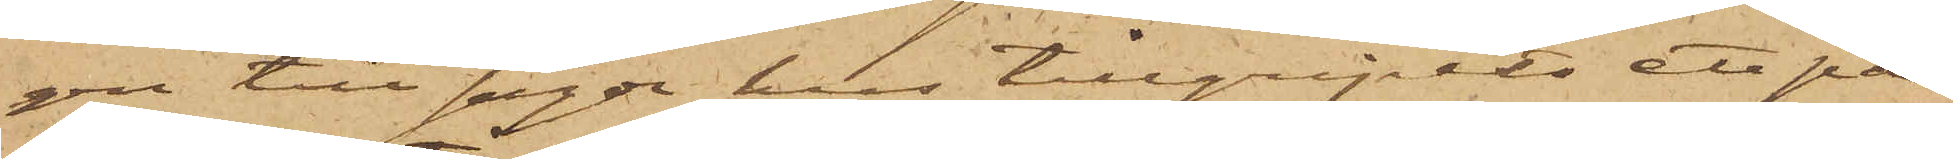gen till sagde hus tillgripits ett par
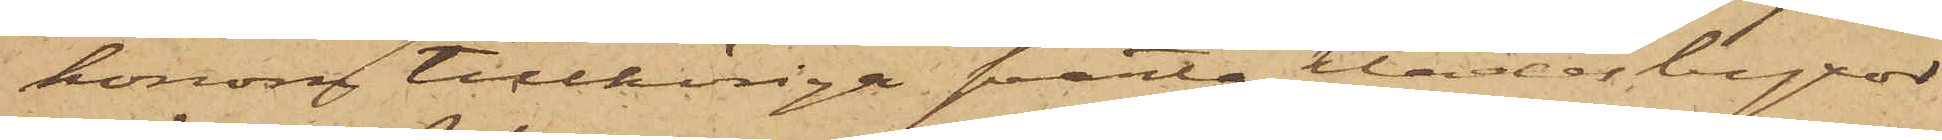honom tillhöriga svarta klädesbyxor
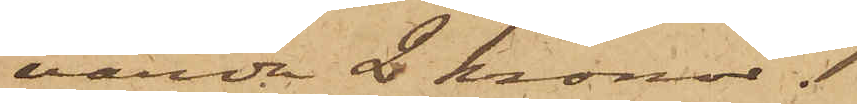värda 2 kronor.
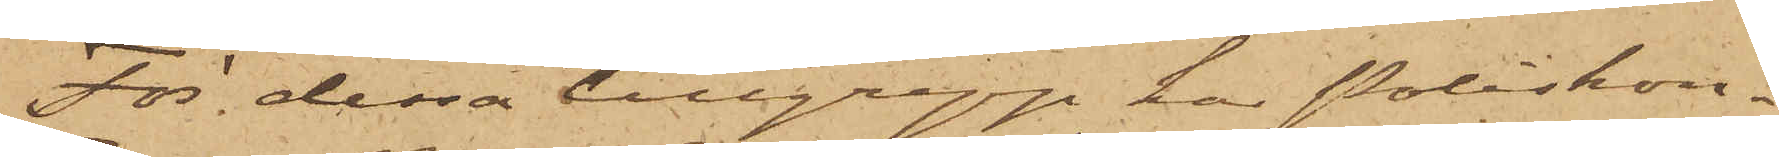För dessa tillgrepp har Poliskon¬
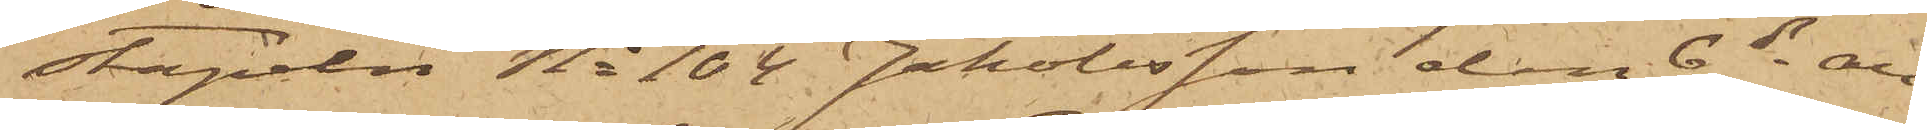stapeln No 104 Jakobsson den 6 ds an¬
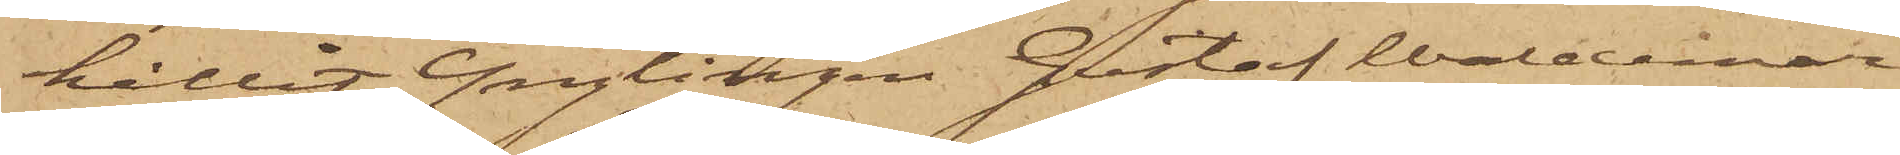hållit Ynglingen Gustaf Waldemar
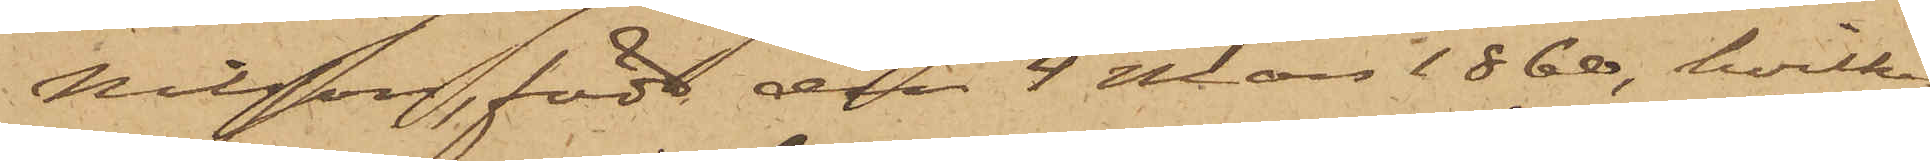Nilsson, född den 4 Mars 1860, hvilka
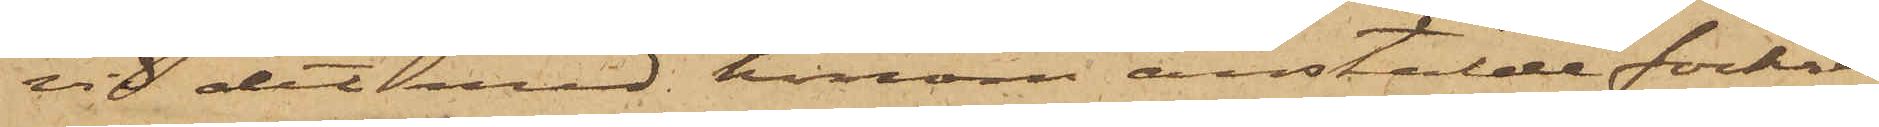vid det med honom anstälde förhör
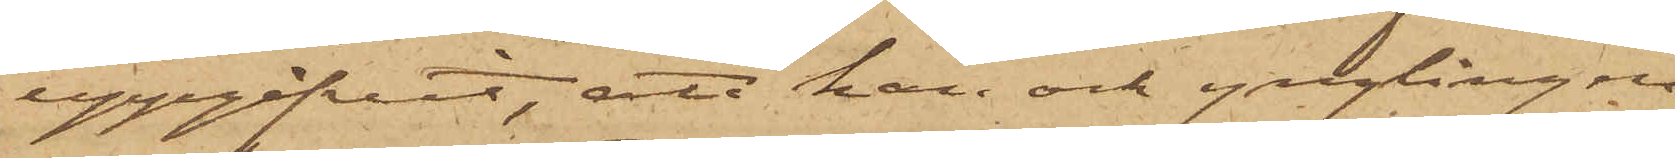uppgifvit, att han och ynglingen
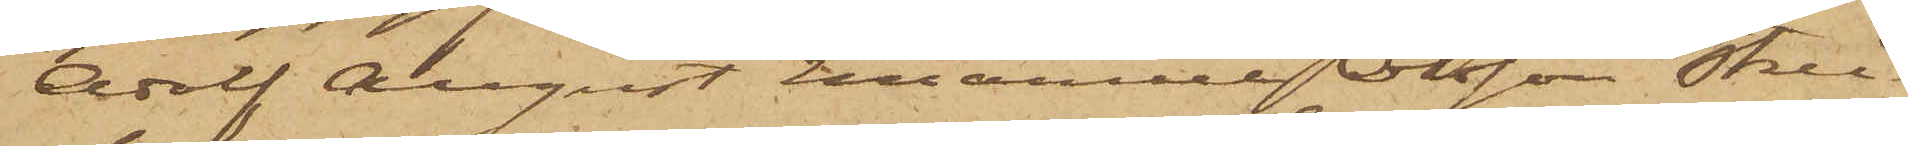Adolf August Emanuel Olsson Strei¬
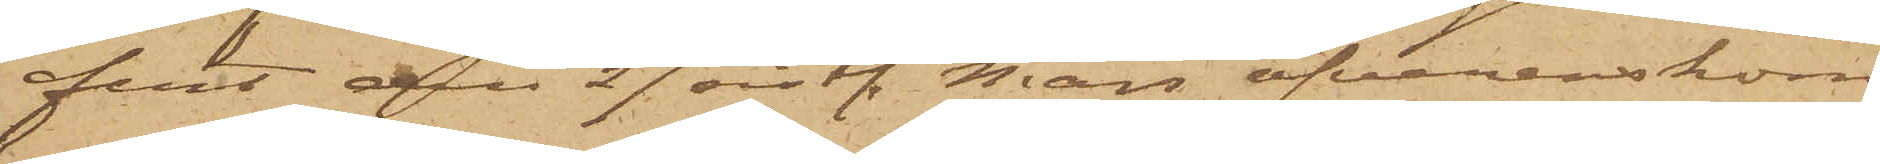fert den 27 sistl. Mars öfverenskom¬
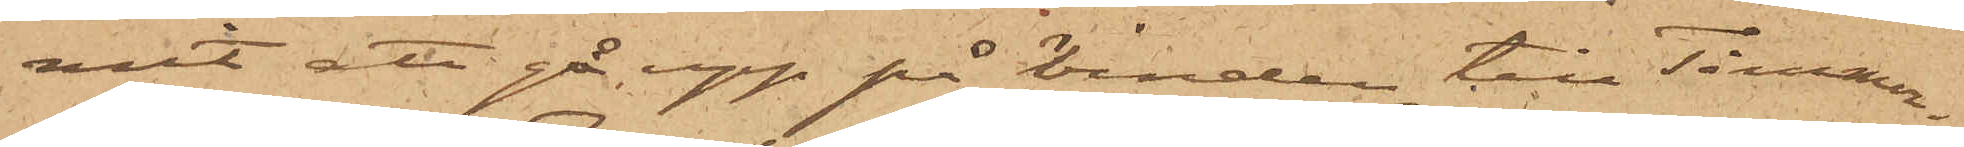mit att gå upp på vinden till Timmer¬
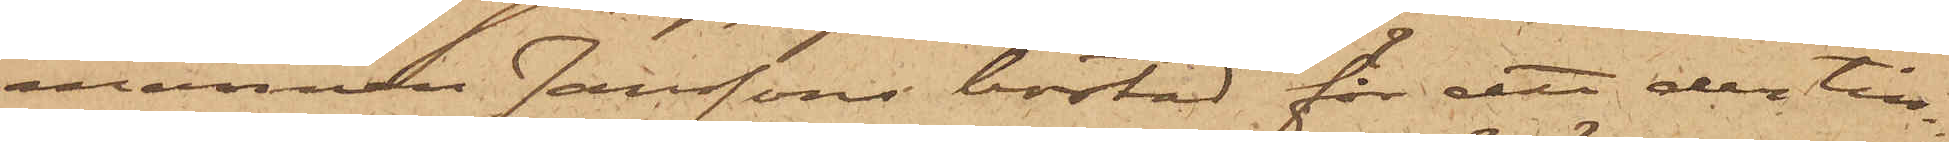mannen Janssons bostad för att der till¬
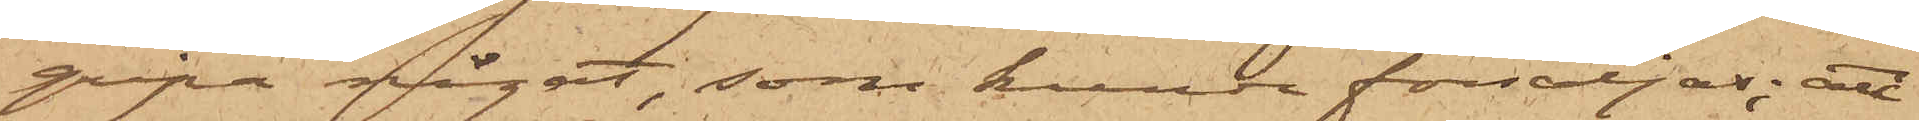gripa något, som kunde försäljas; att
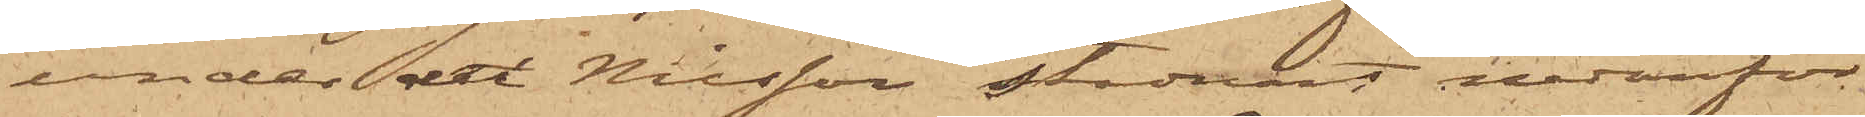under det Nilsson stadnat nedanför
